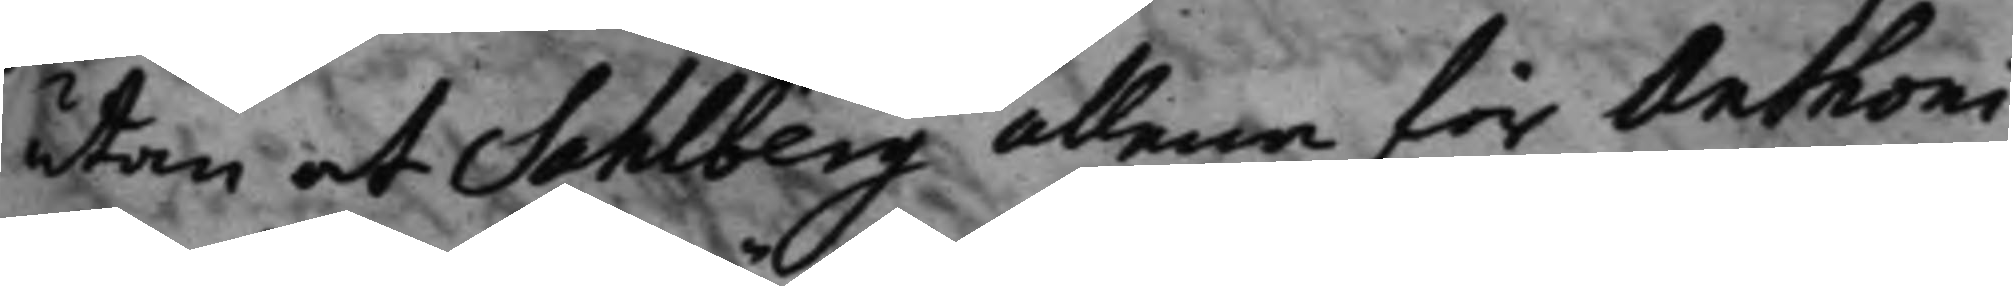utan at Sahlberg allena för Anthoni
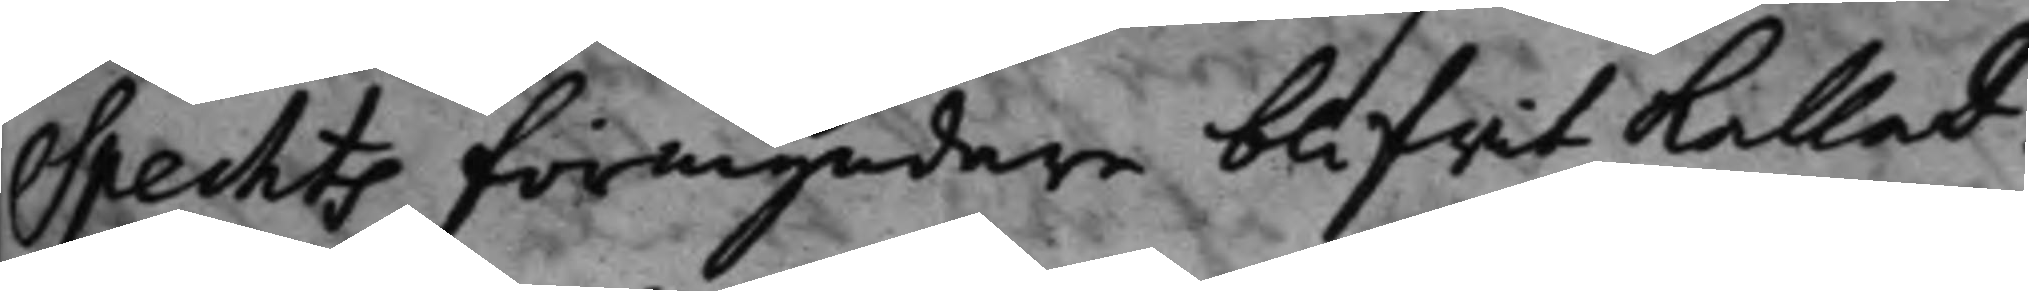Spechts förmyndare blifwit kallad:
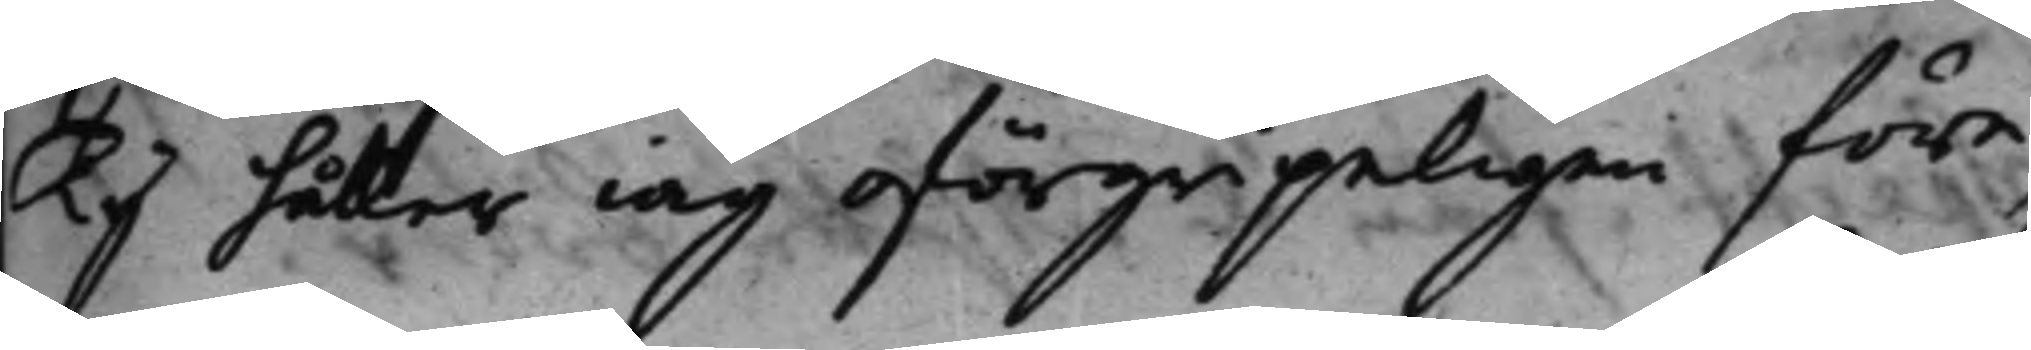Ty håller iag oförgripeligen före¬
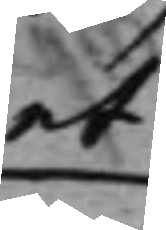at
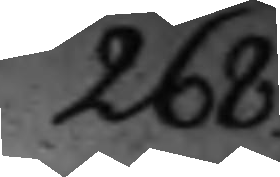268.
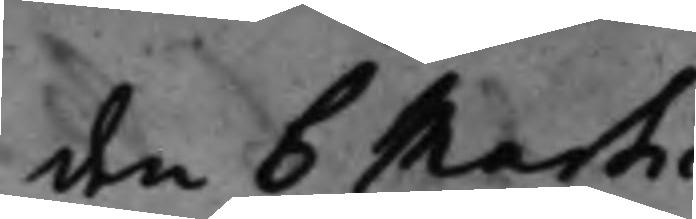den 6 Martii
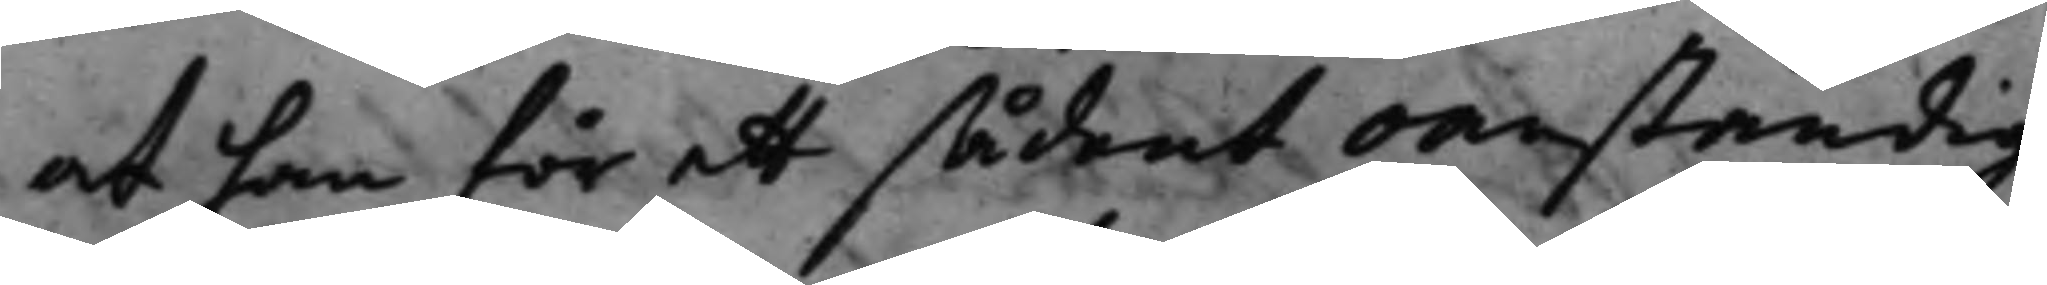at han för ett sådant oanständigt
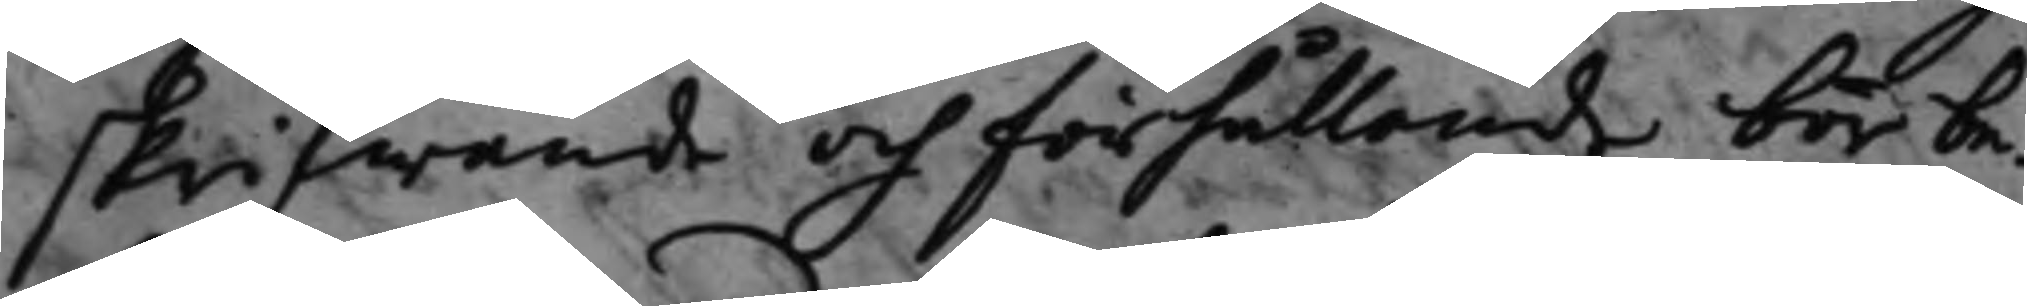skrifwande och förhållande bör be¬
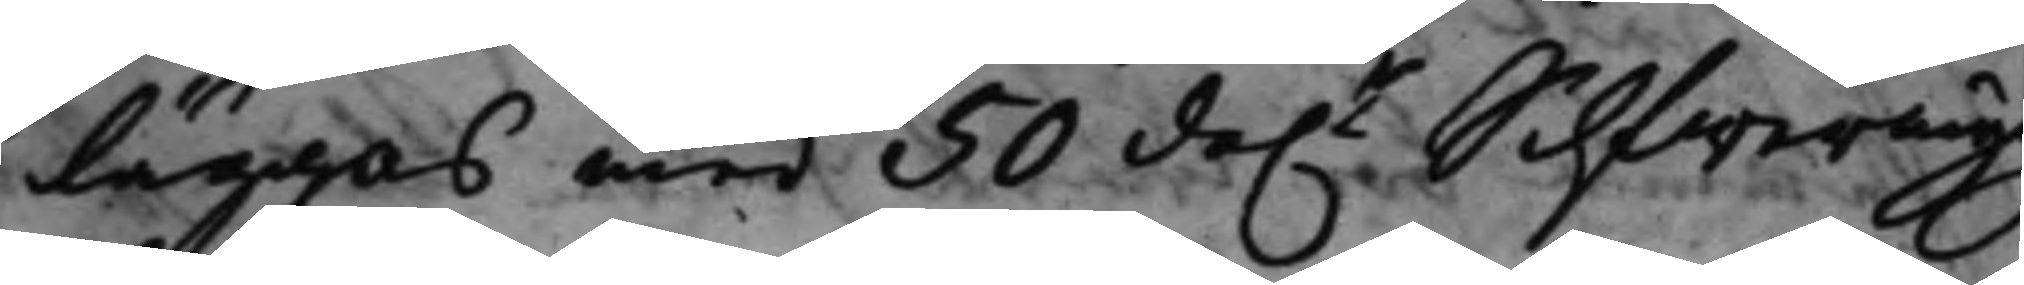läggas med 50 da.r Silfwermy
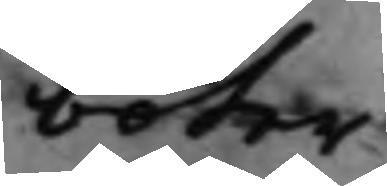böter.
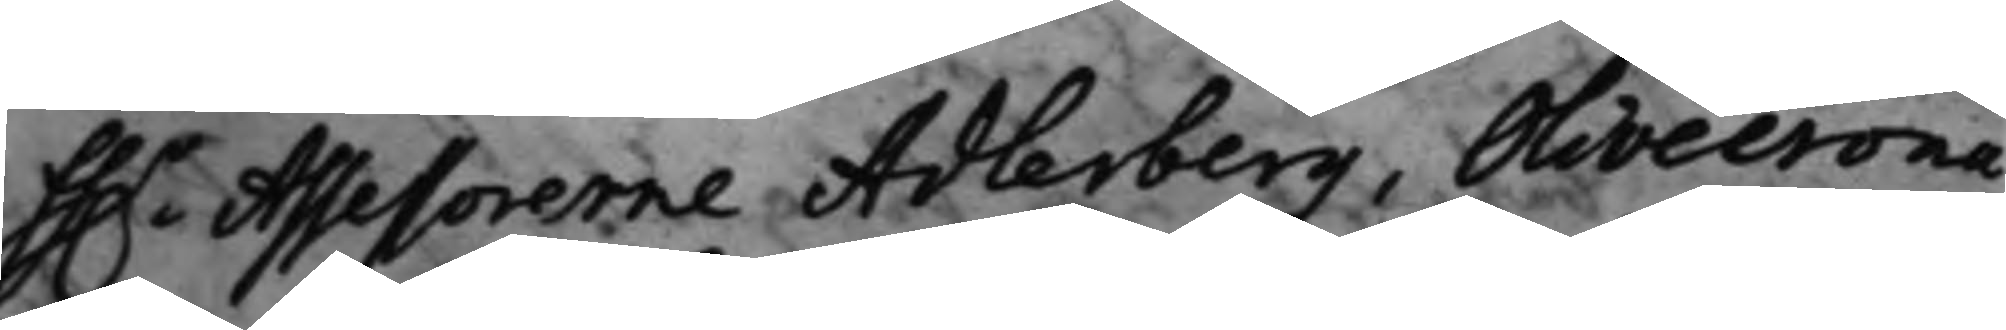Hh.r Assessorerne Adlerberg, Olivecrona
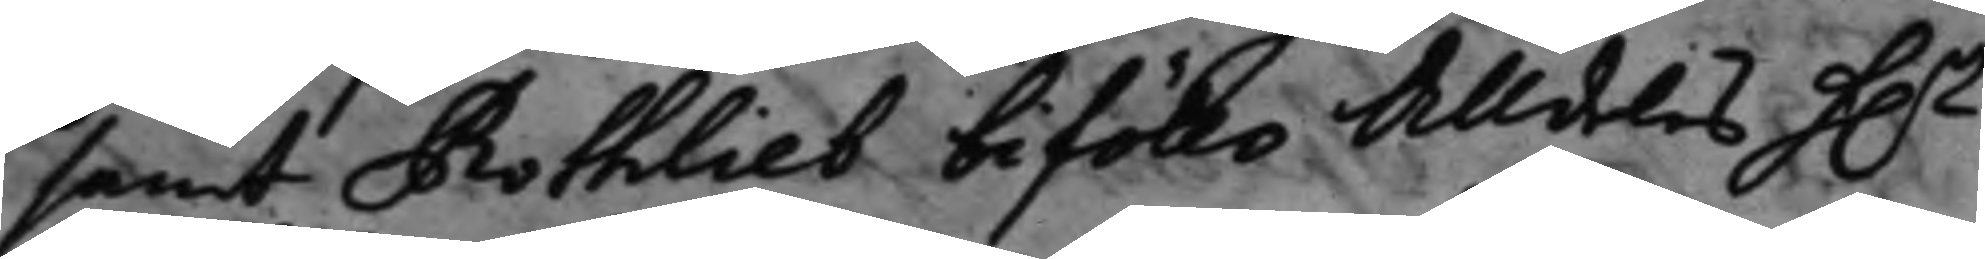samt Rothlieb biföllo Alldeles h..r
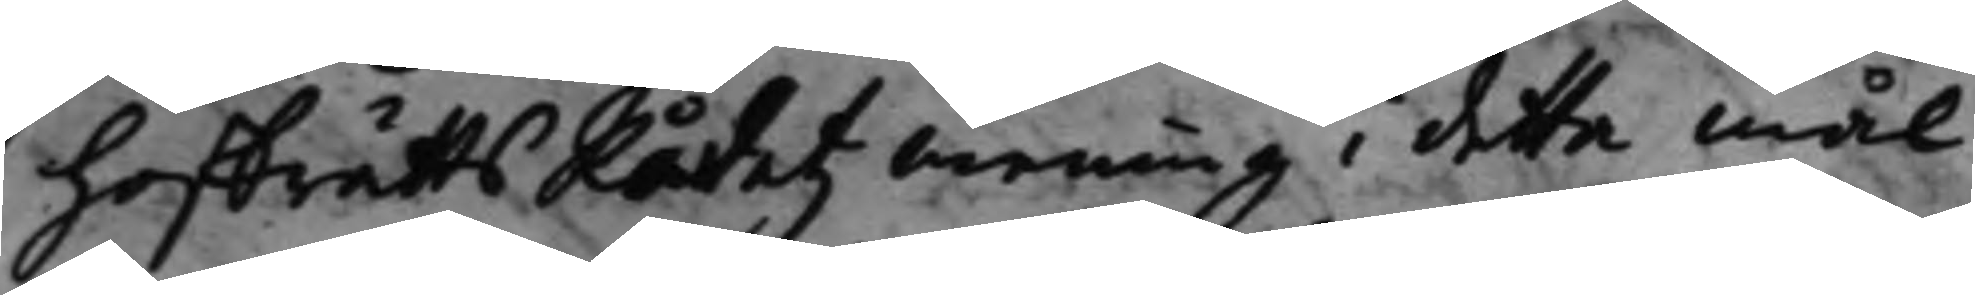HoffrättsRådetz mening i detta mål.
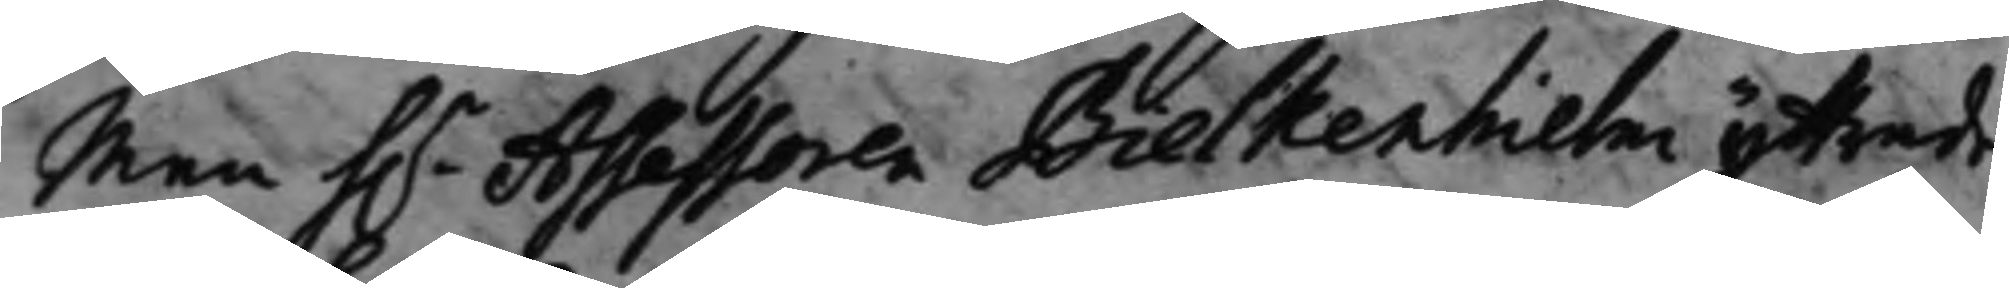Men h.r Assessoren Bielkenhielm yttrade
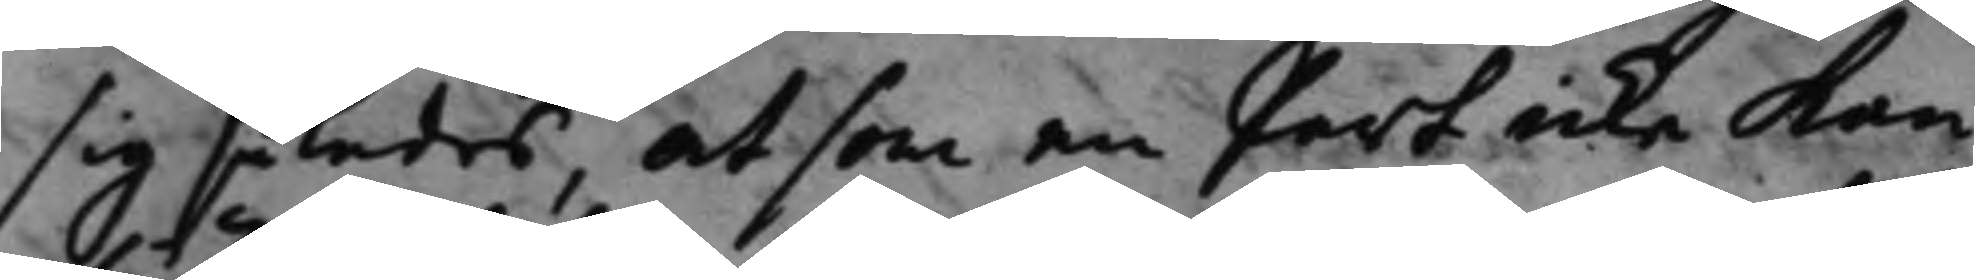sig således, at som en part icke kan
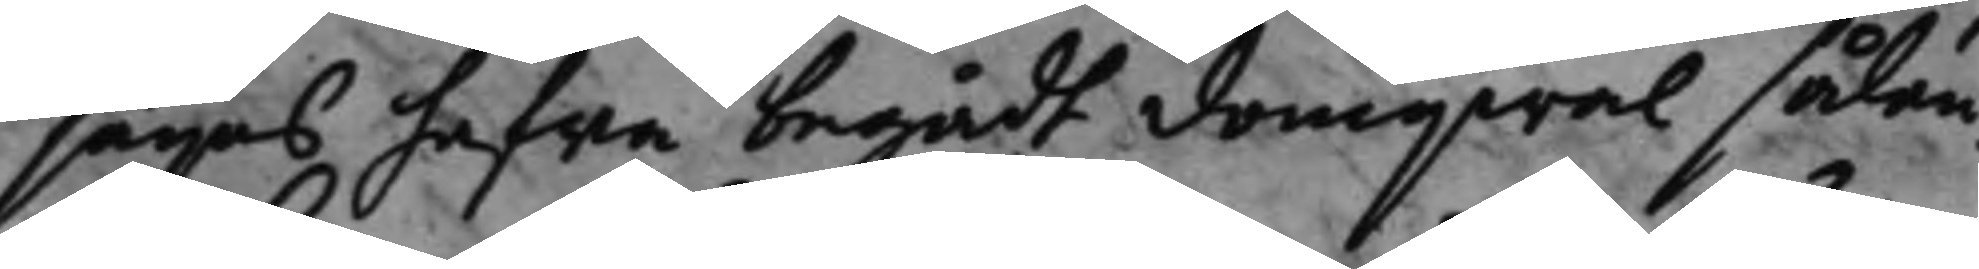sägas hafwa begådt domgwal sålän¬
